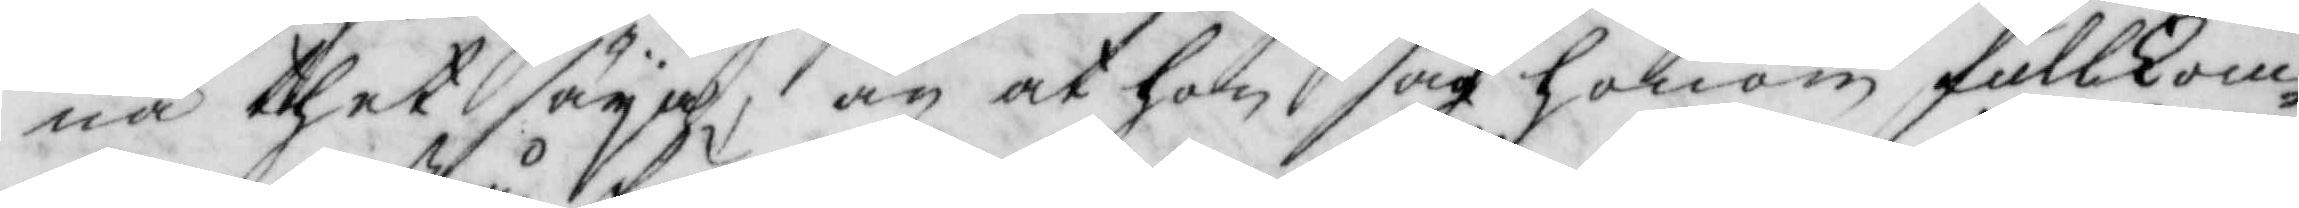na thet säya, än at hon såg honom fullkom¬
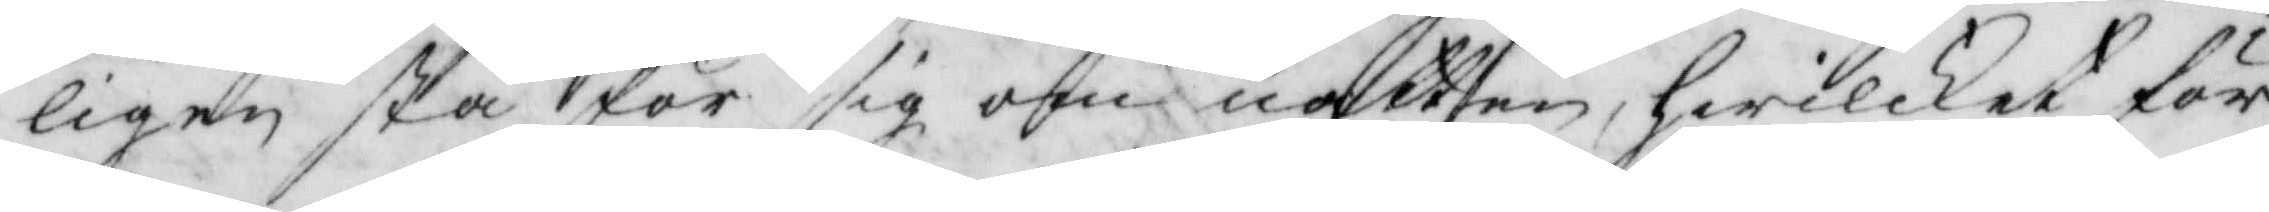ligen stå för sig om natten, hwilket för
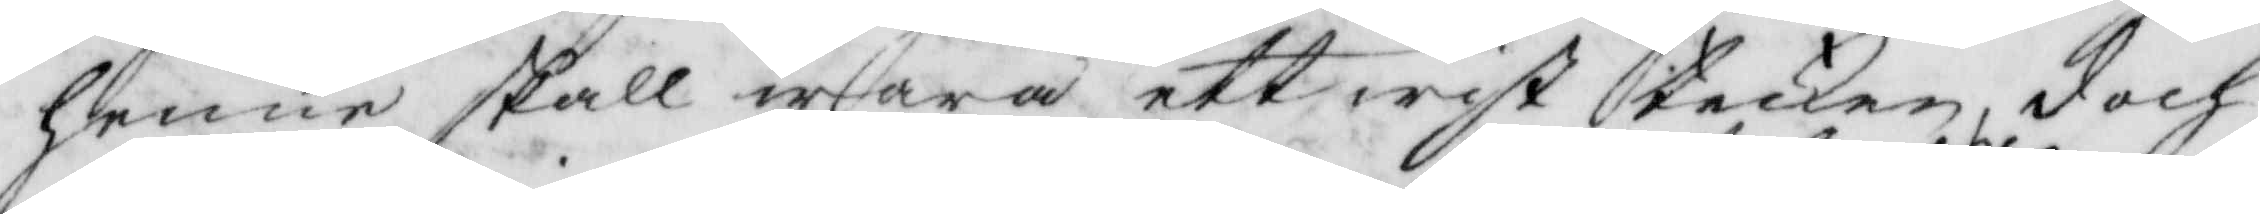henne skall wara ett wist tecken, doch
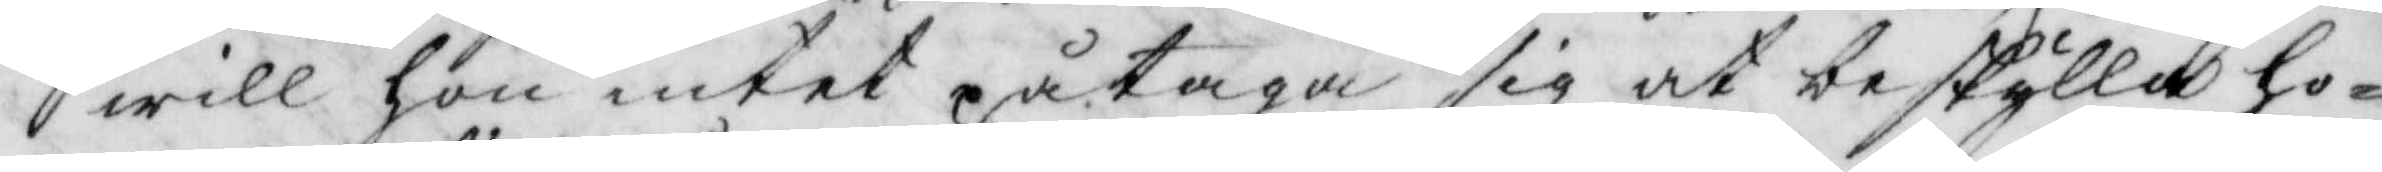will hon intet påtaga sig at beskylla ho¬
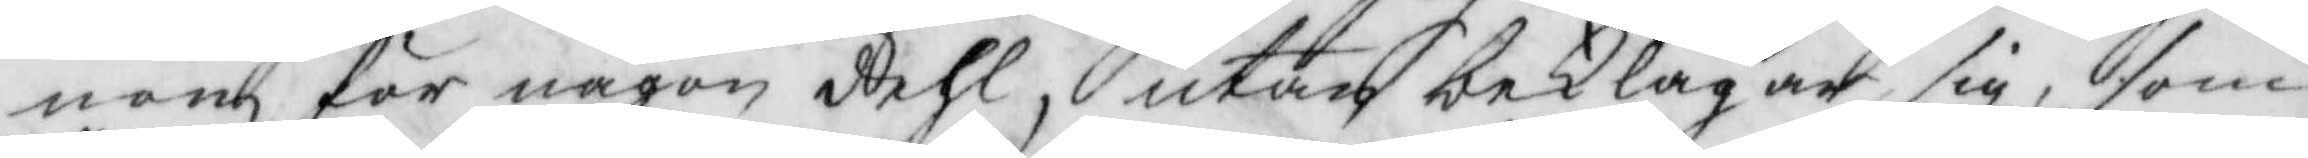nom för någon dehl, utan beklagar sig, som
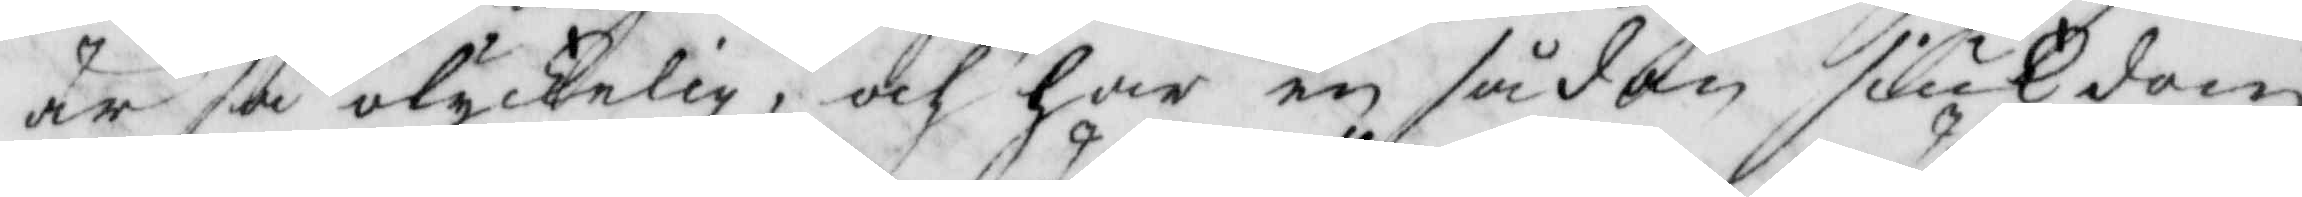är så olyckelig, och har en sådan siuk dom
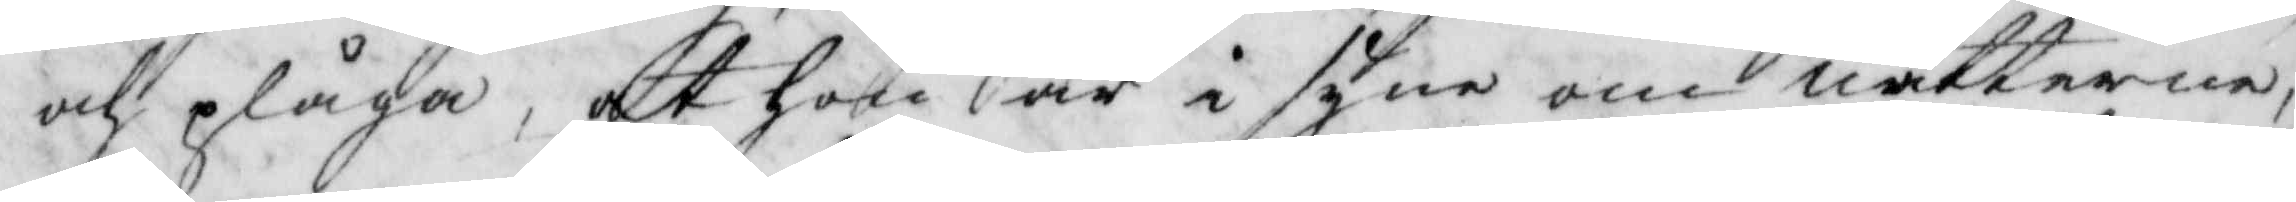och plåga, att hon är i syne om nätterne,
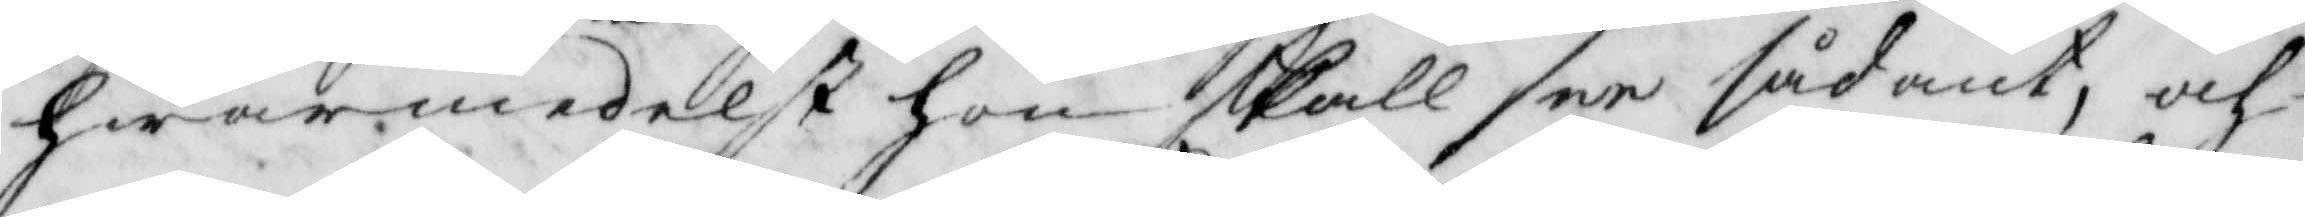hwarmedelst hon skall see sådant, och
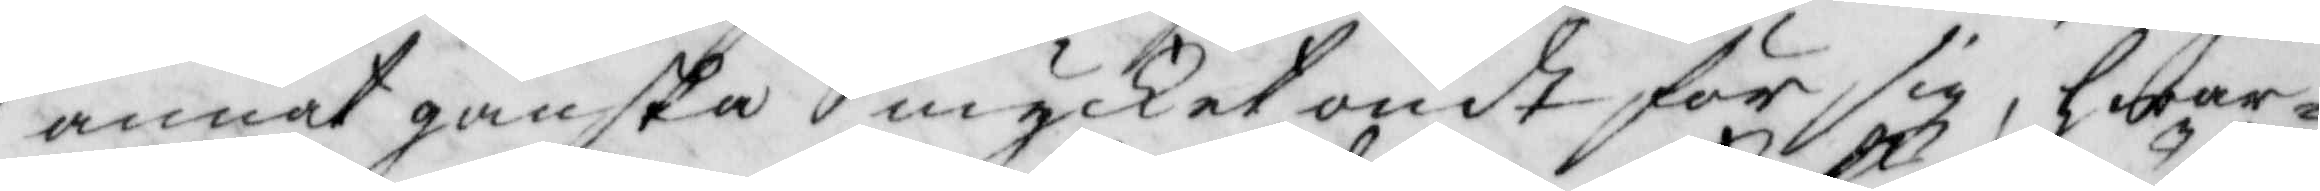annat ganska mycket ondt för sig, hwar¬
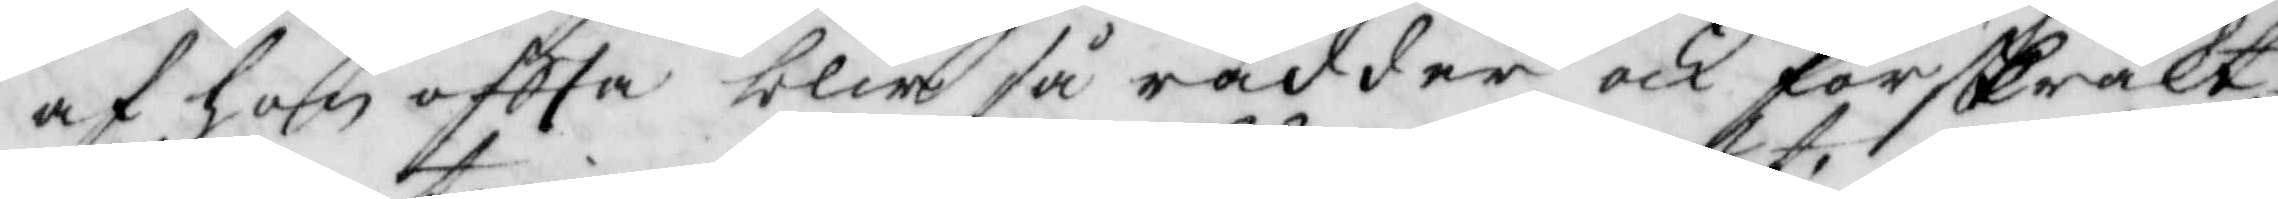af hon oftta blir så rädder och förskräkt,
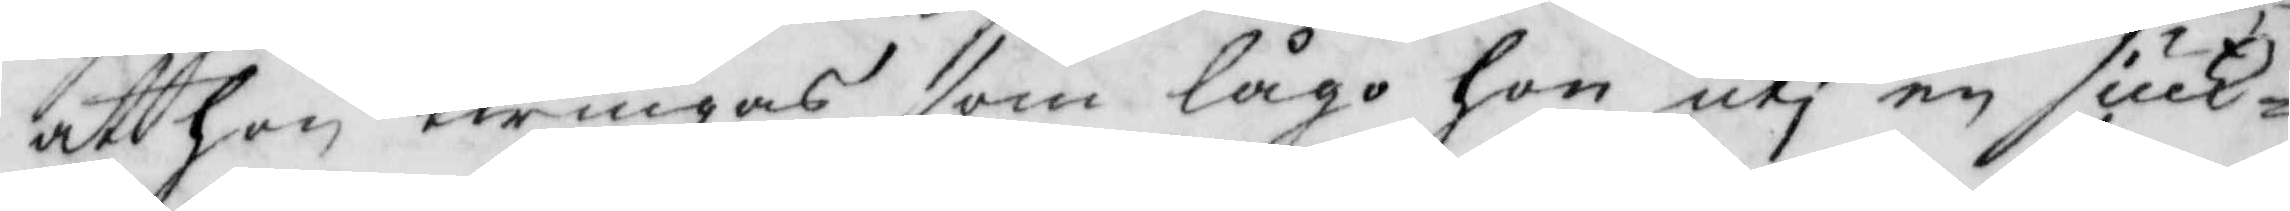att hon twingas som lågo hon uti en siuk¬
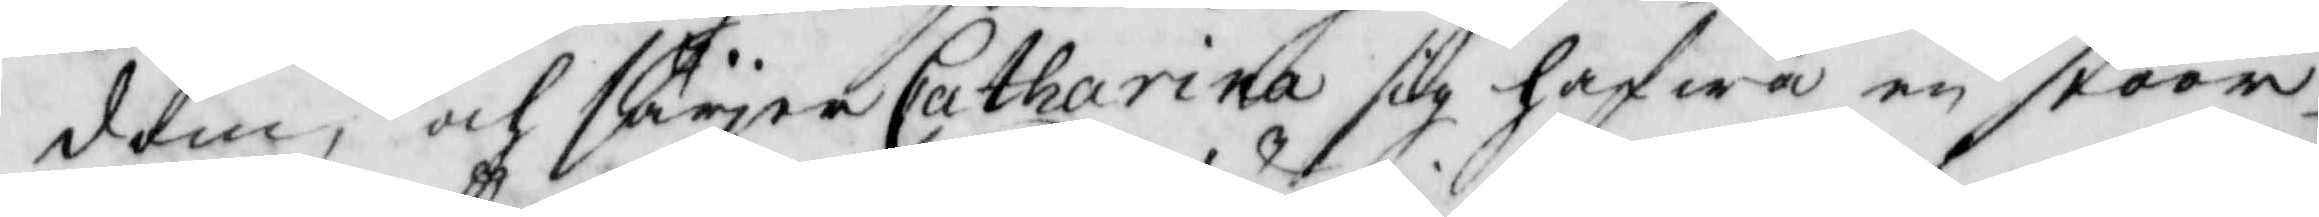dom, och säyer Catharina sig hafwa en stoor
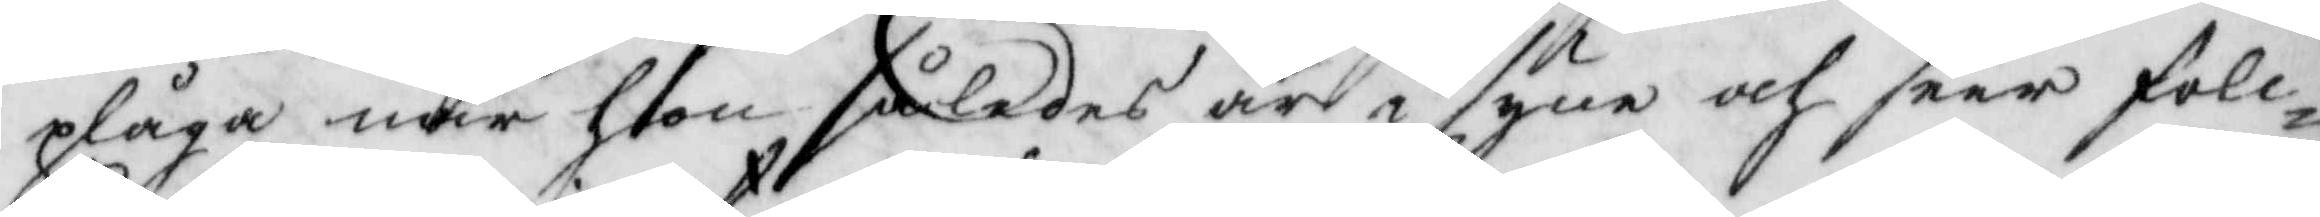plåga när hon således är i syne och seer foll¬
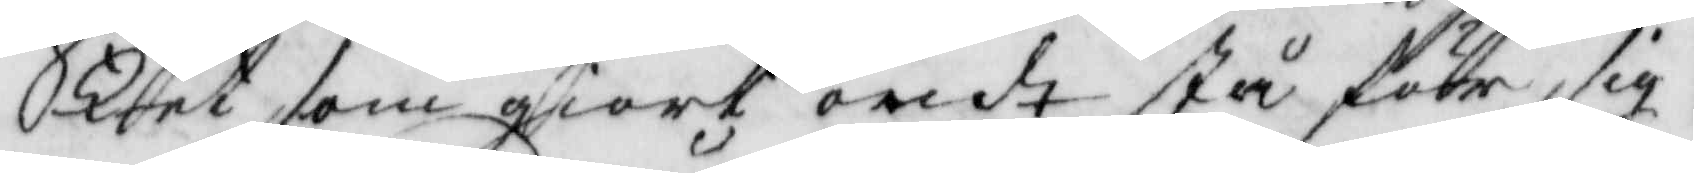ket som giort ordt stå förr sig.
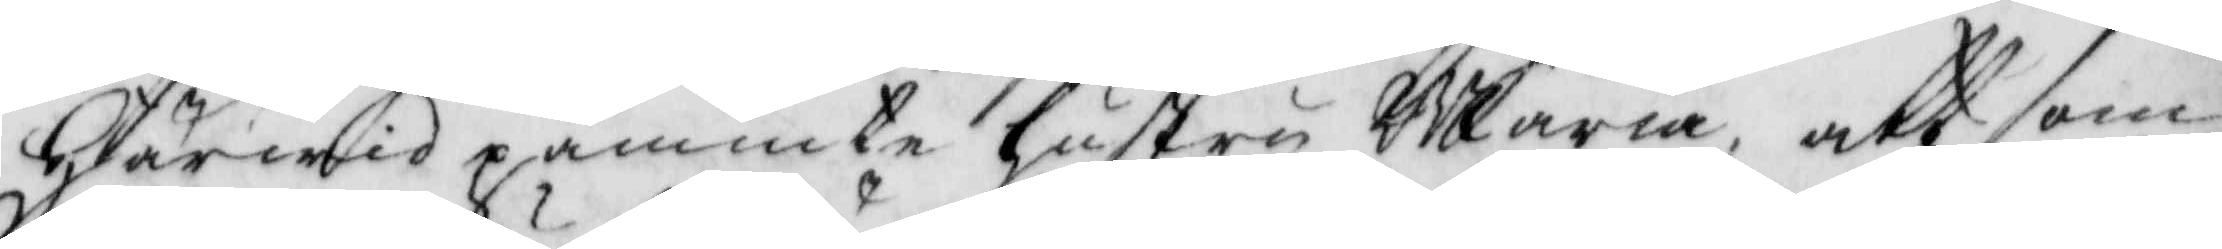Härwid påminte Hustru Maria, att som
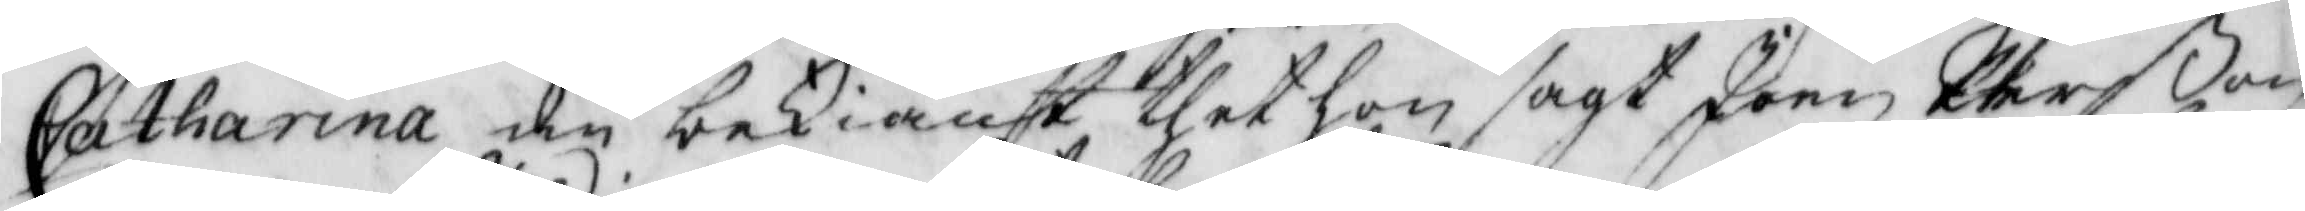Catharina än bekiänt thet hon sagt Joen Perßon
